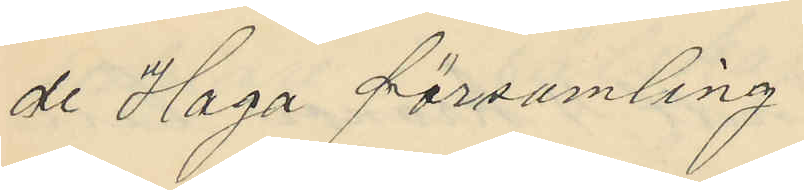de Haga församling.
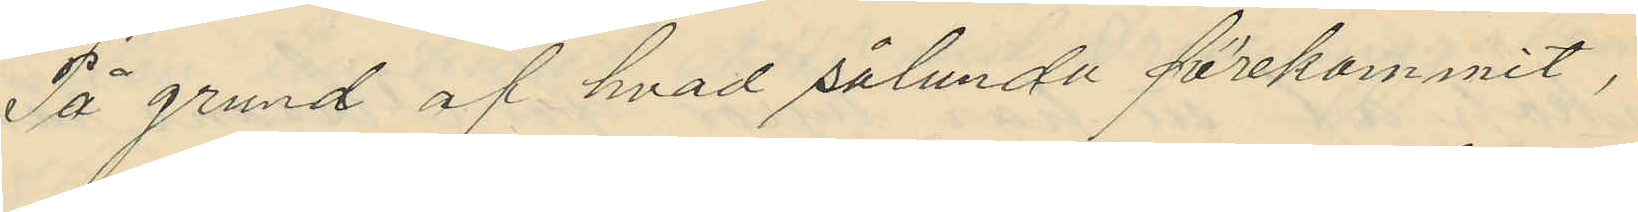På grund af hvad sålunda förekommit,
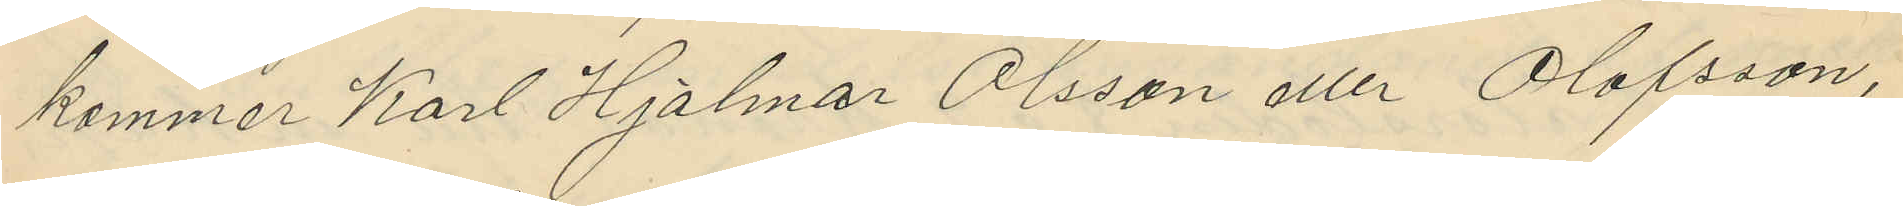kommer Karl Hjalmar Olsson eller Olofsson,
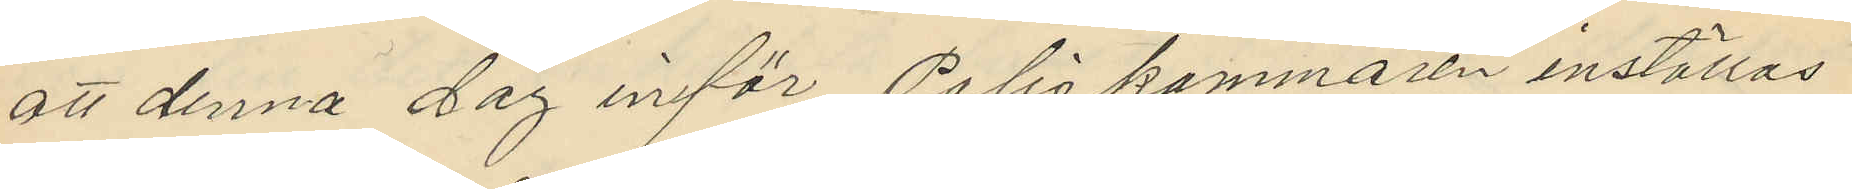att denna dag inför Poliskammaren inställas
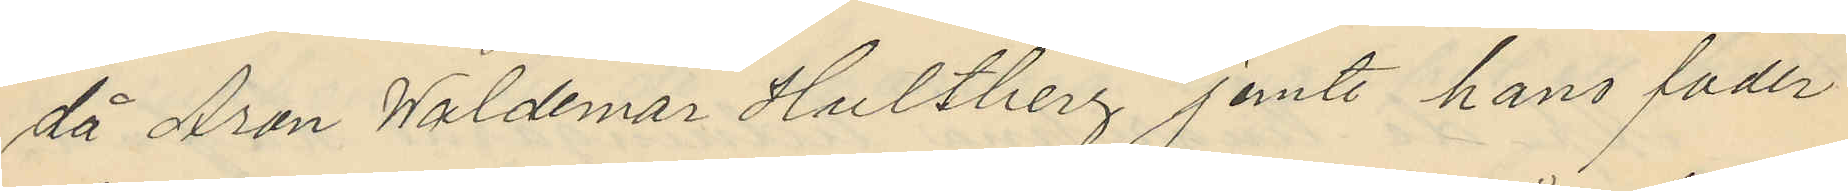då Aron Waldemar Hultberg jemte hans fader
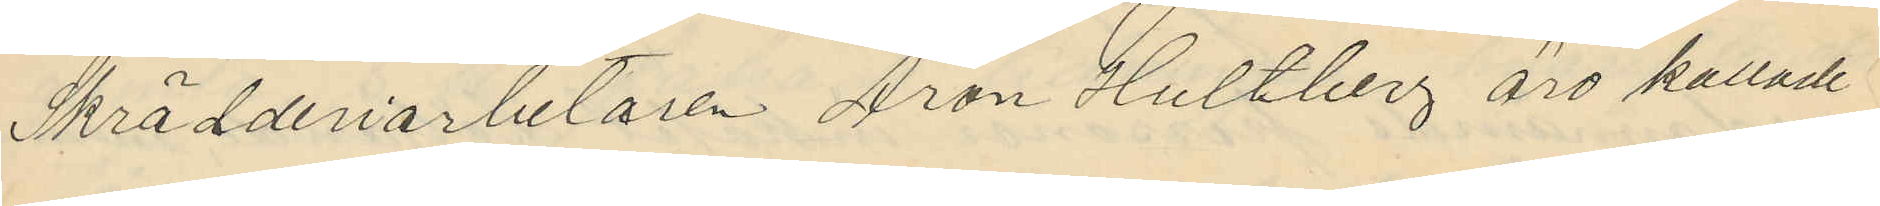Skrädderiarbetaren Aron Hultberg äro kallade
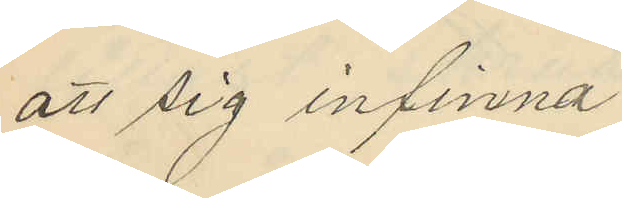att sig infinna.
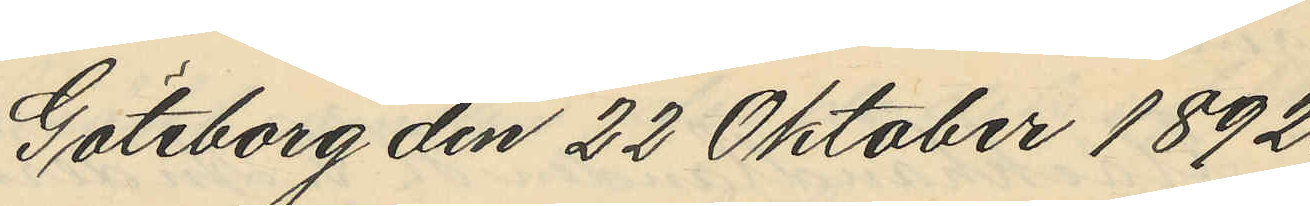Göteborg den 22 Oktober 1892.
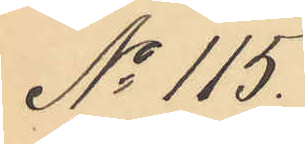No 115.
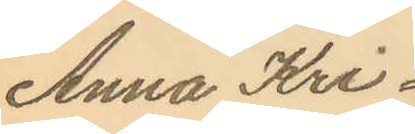Anna Kri¬
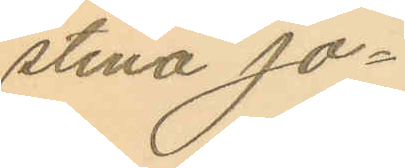stina Jo¬
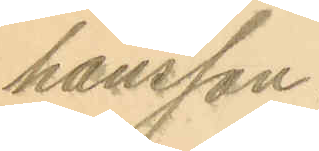hansson.
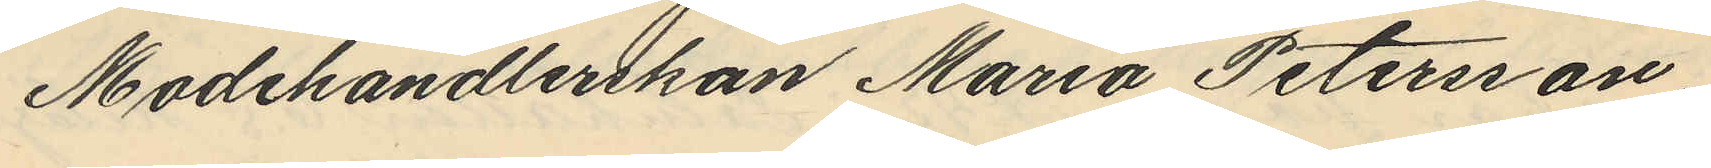Modehandlerskan Maria Petersson
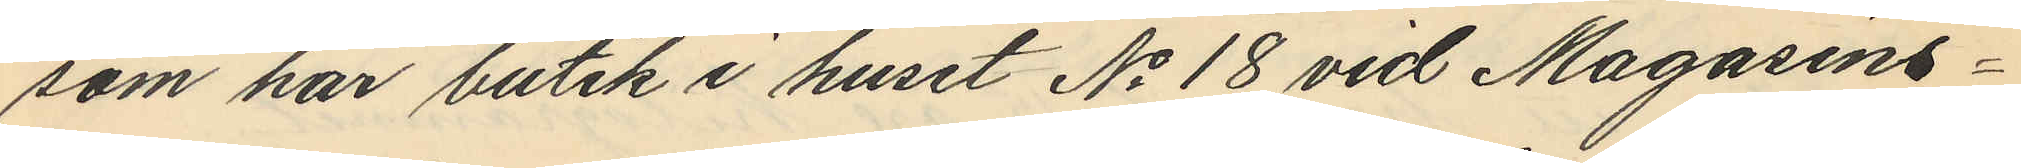som har butik i huset No 18 vid Magasins¬
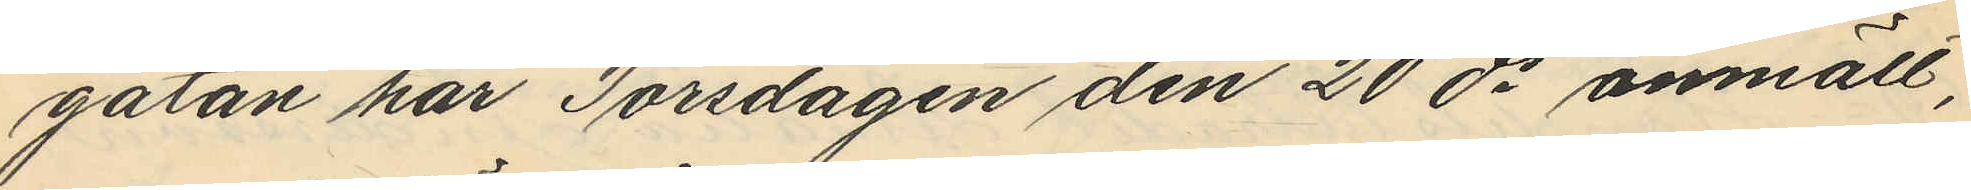gatan har Torsdagen den 20 ds anmält,
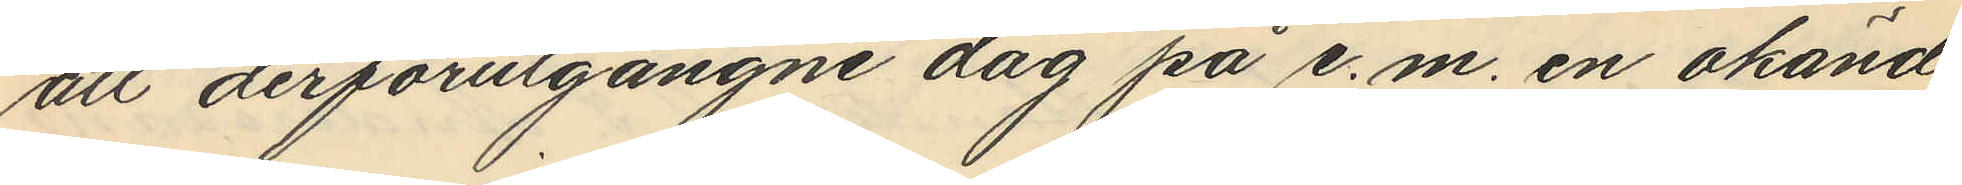att derförutgångne dag på e. m. en okänd
